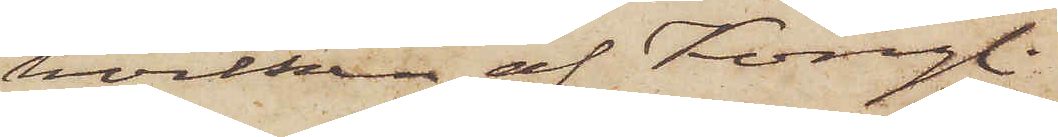hvilken af Kongl.
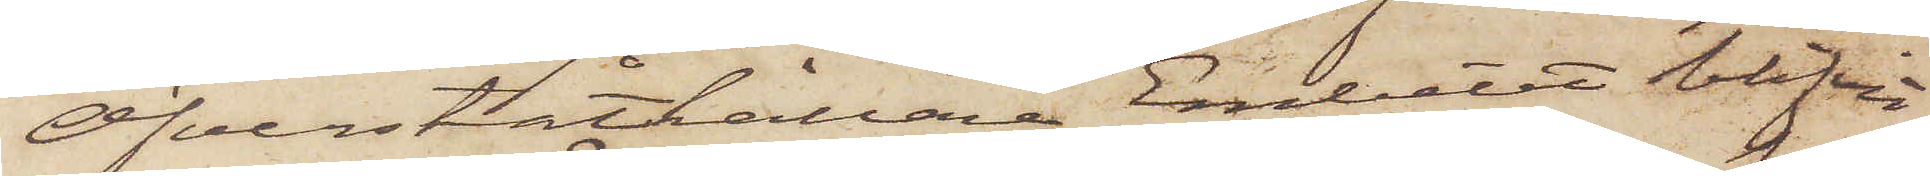Öfverståthållare Embetet blifvit
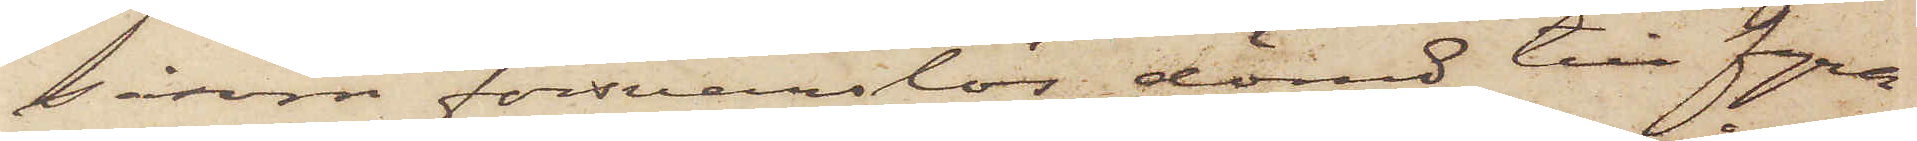såsom försvarslös dömd till fyra
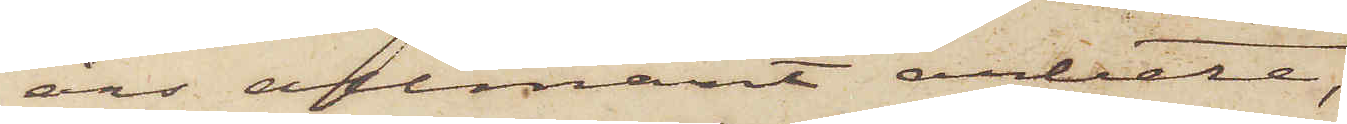års allmänt arbete,
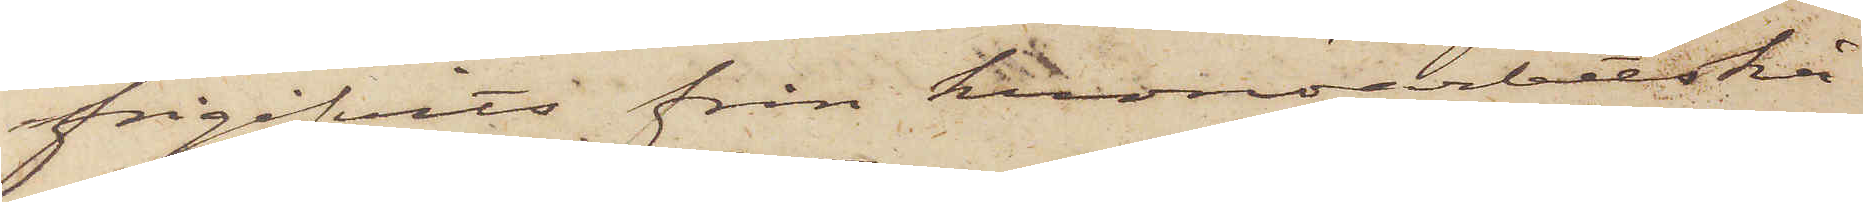frigifvits från kronoarbetskå¬
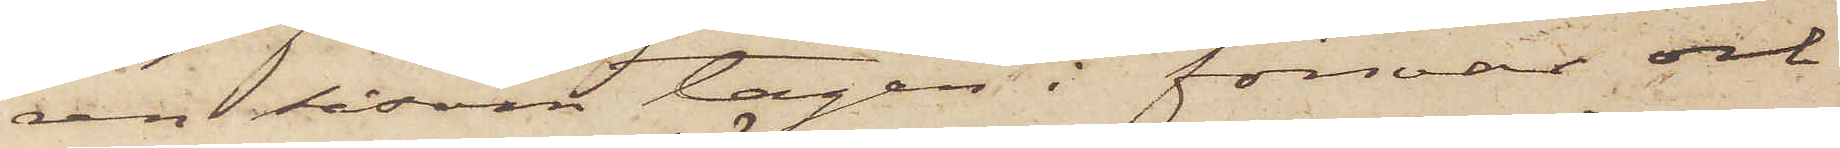ren såsom tagen i försvar och
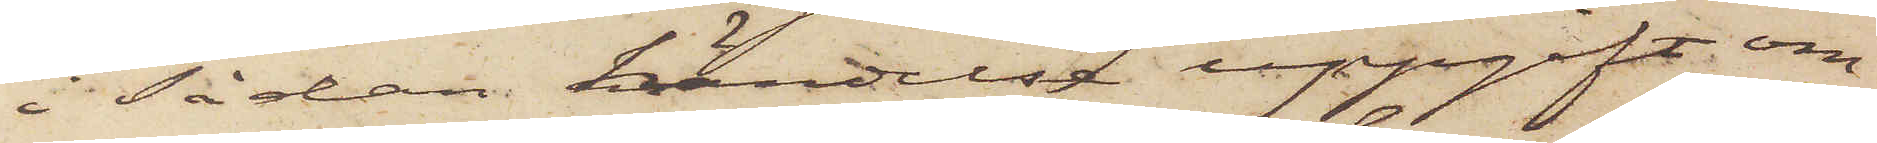i Sådan händelse uppgift om
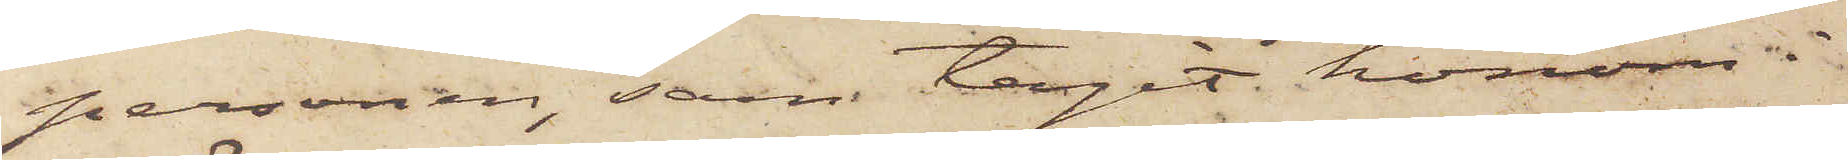personen, som tagit honom i
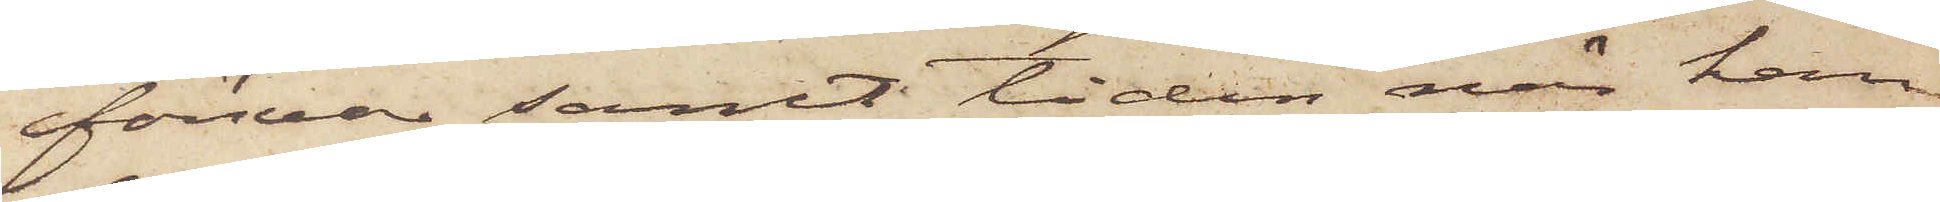försvar samt tiden när han
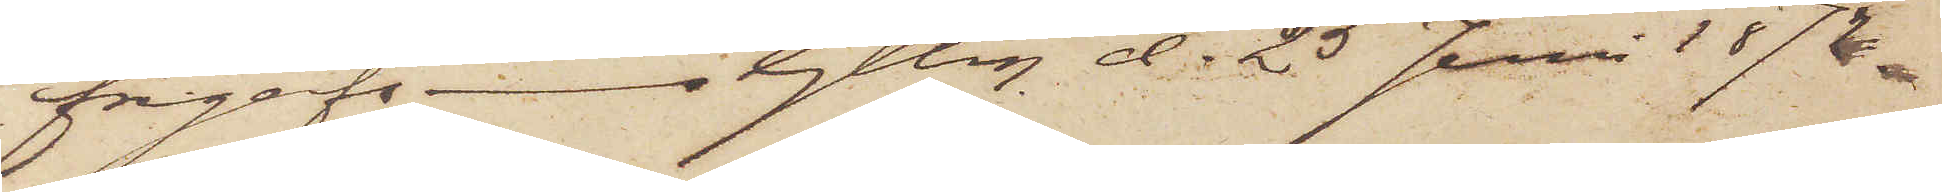frigafs. Gtbrg d. 25 Juni 1872.
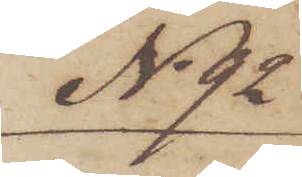No 92
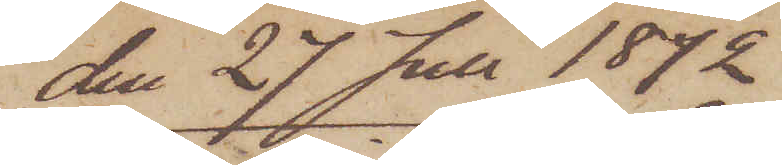den 27 Juli 1872
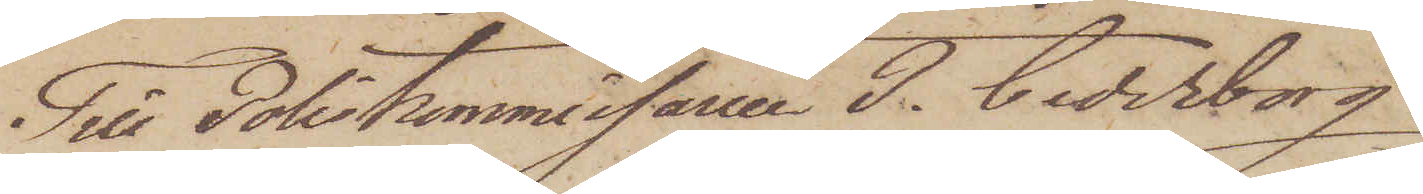Till Poliskommissarien P. Cederborg
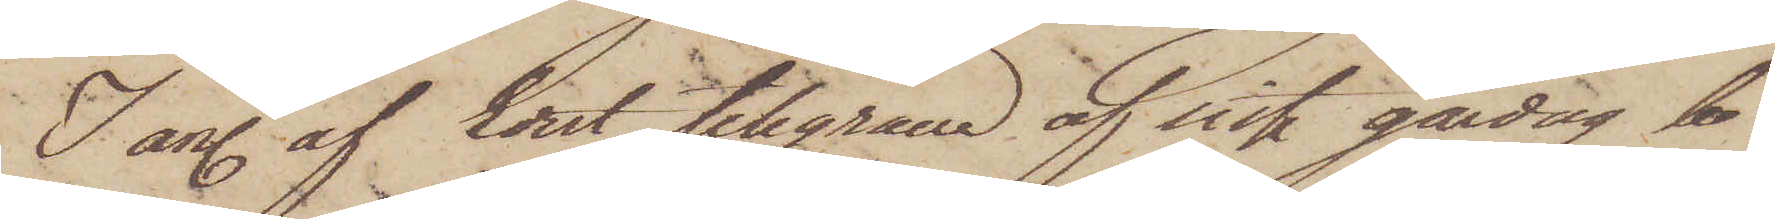I anl. af Edert telegram af sist. gårdag be¬
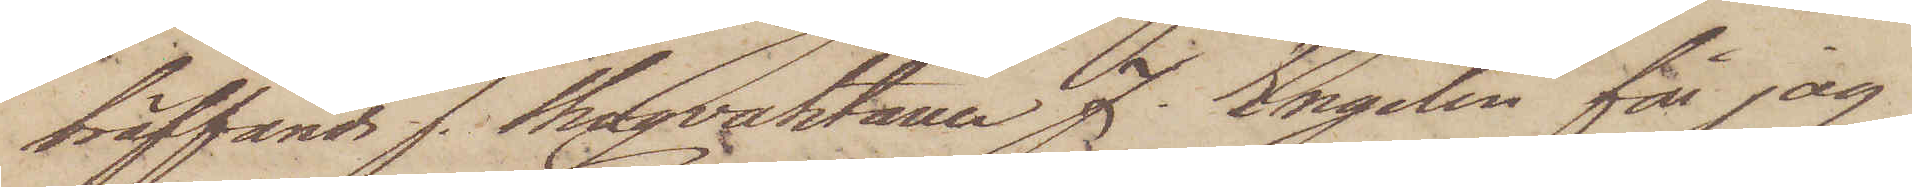träffande f. Skogvaktaren J. Engelin får jag
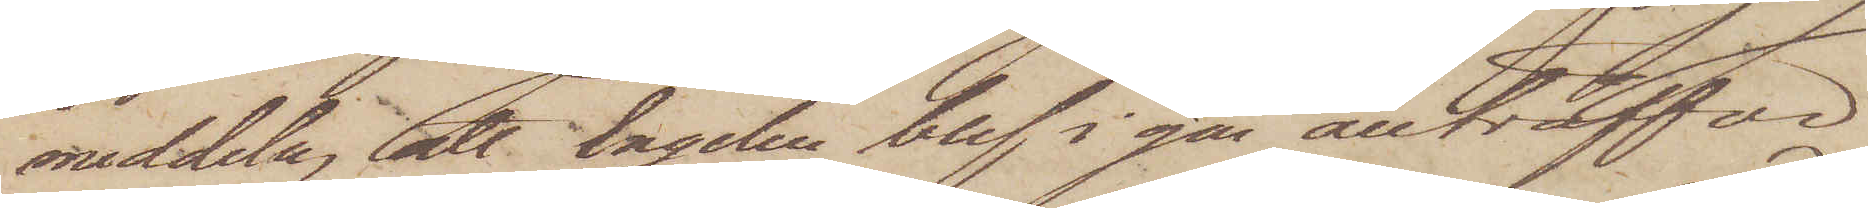meddela, att Engelin blef i går anträffad
